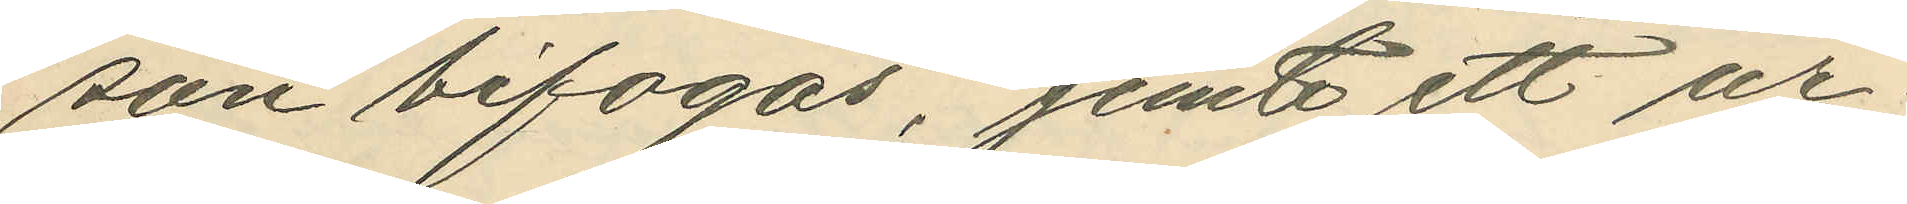son bifogas, jemte ett ur¬
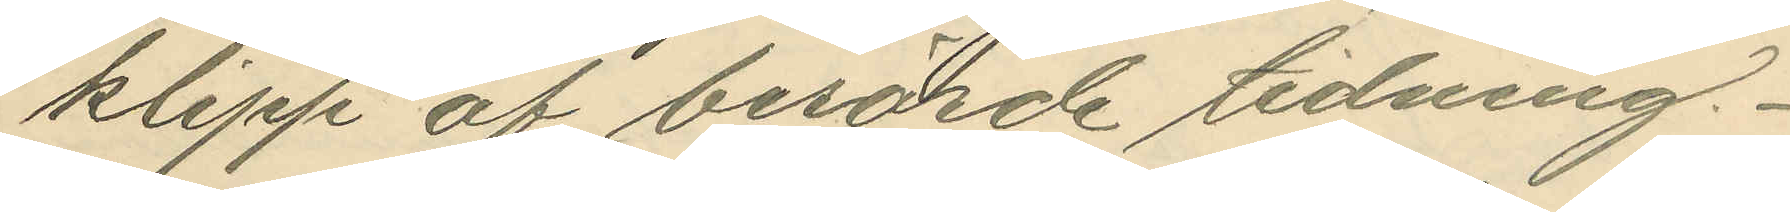klipp af berörde tidning.
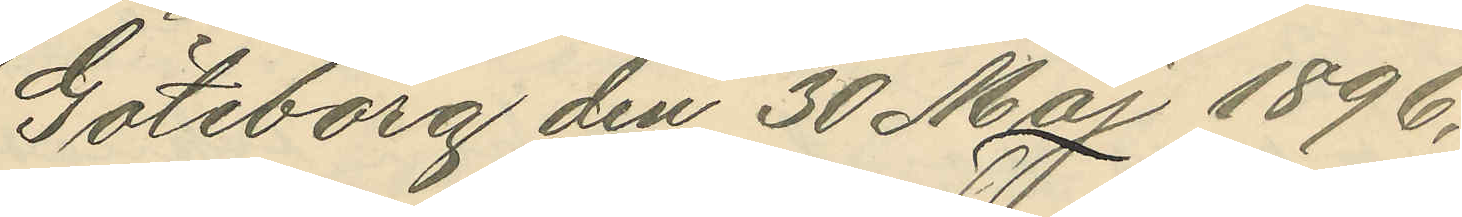Göteborg den 30 Maj 1896.
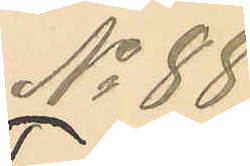No 88.
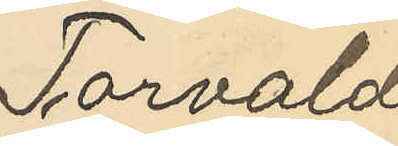Torvald
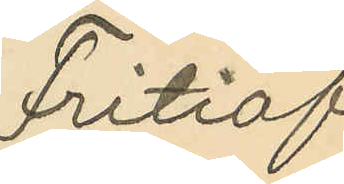Fritiof
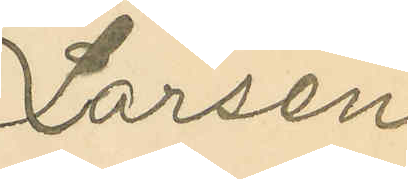Larsen
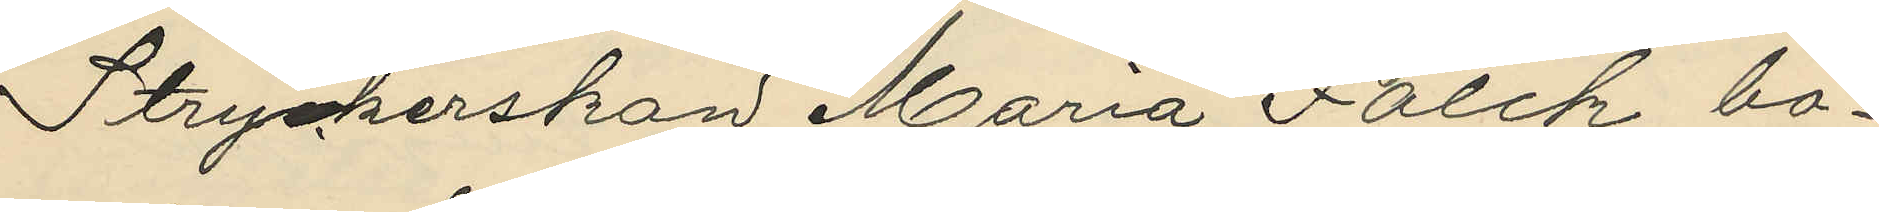Stryckerskan Maria Falck, bo¬
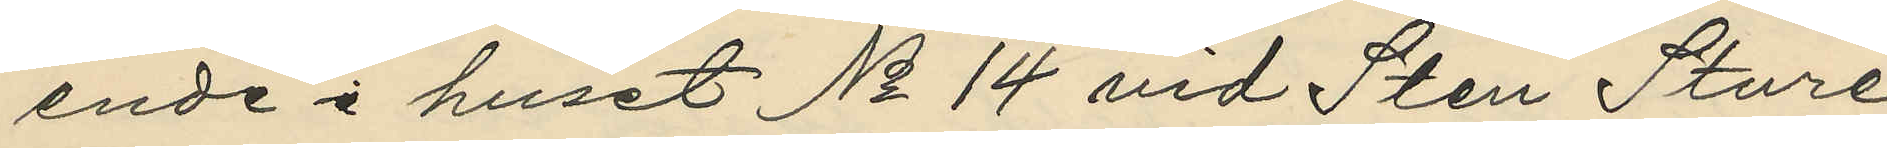ende i huset No 14 vid Sten Sture¬
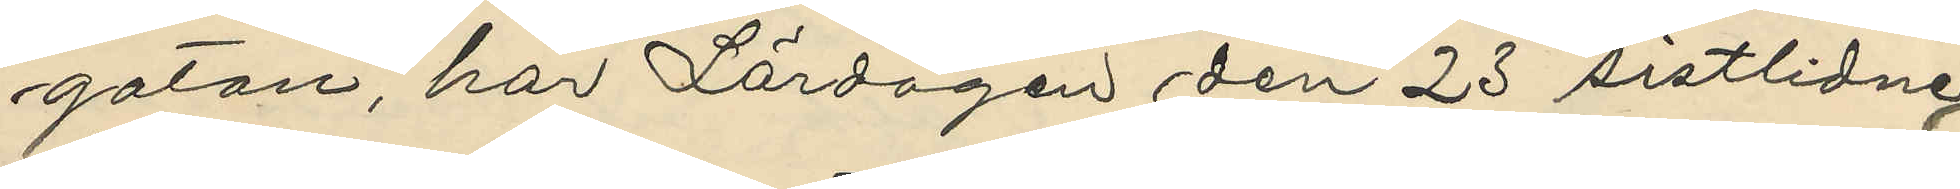gatan, har Lördagen den 23 sistlidne
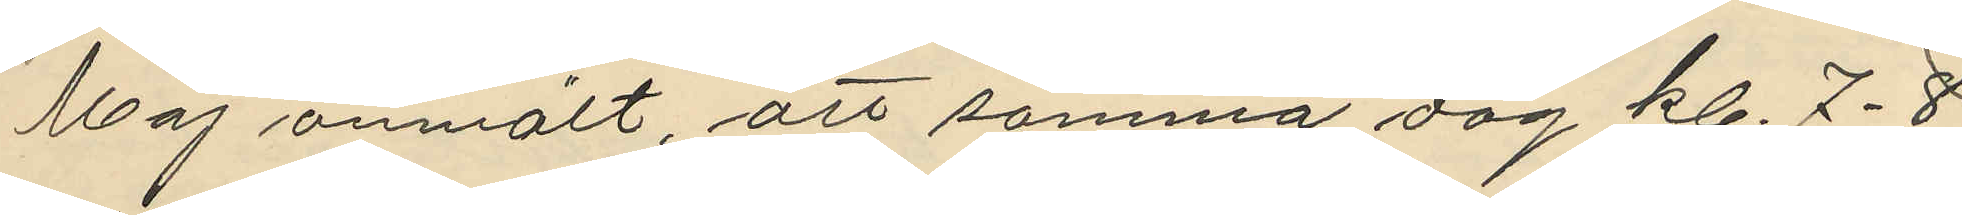Maj anmält, att samma dag kl. 7-8
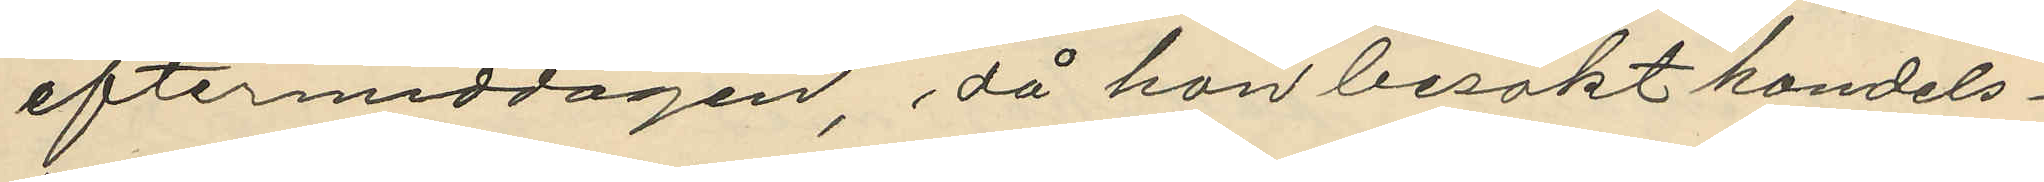eftermiddagen, då hon besökt handels¬
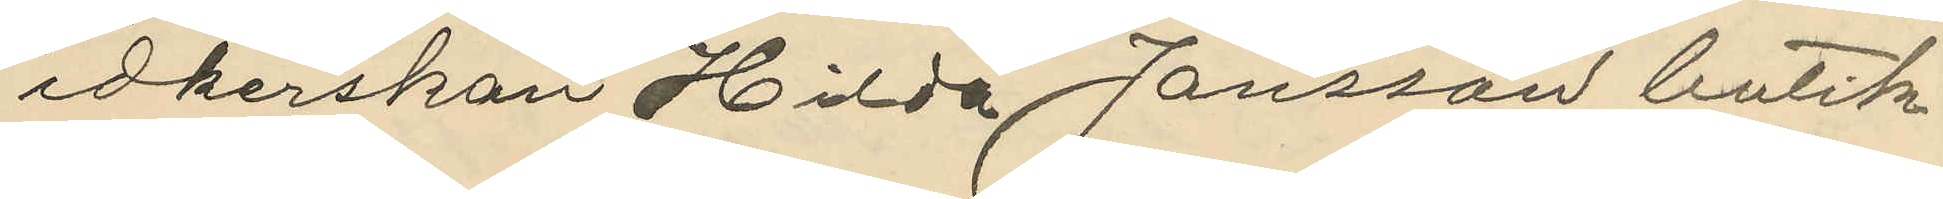idkerskan Hilda Jansson butik
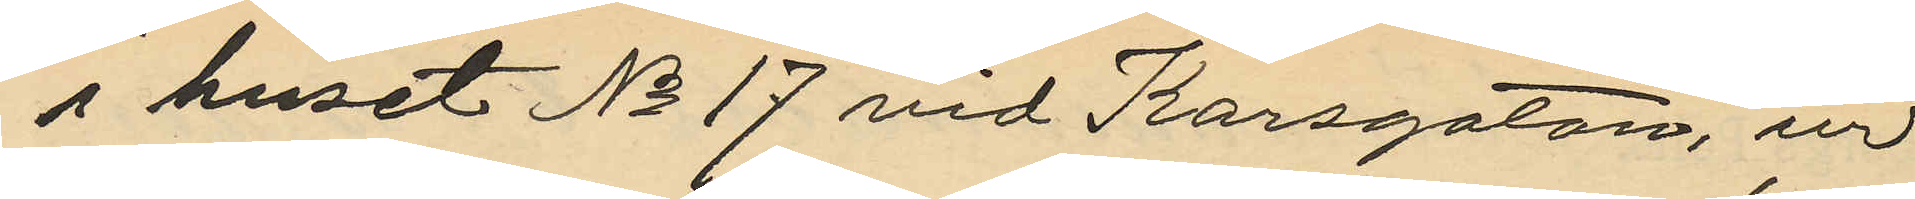i huset No 17 vid Korsgatan, ur
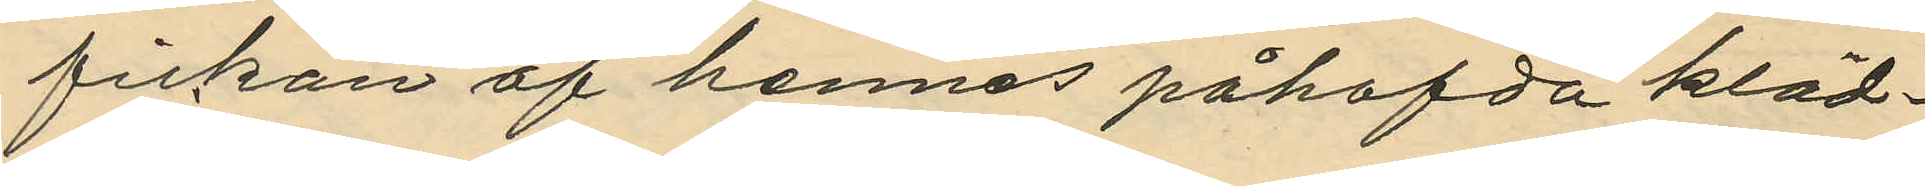fickan af hennes påhafda kläd¬
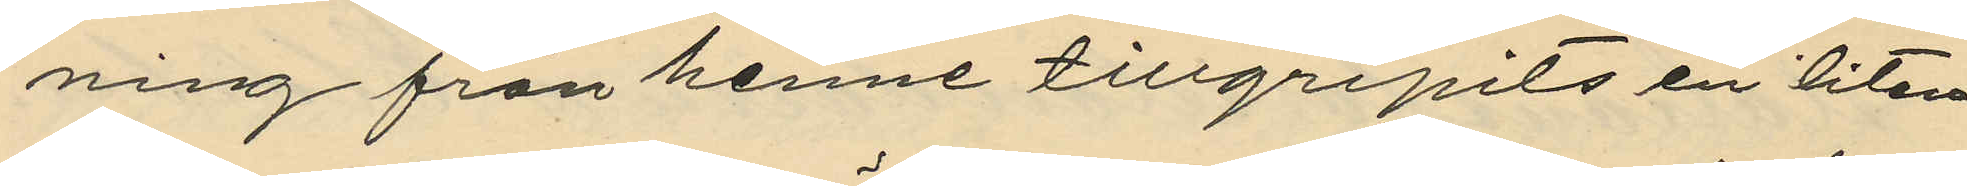ning från henne tillgripits en liten
